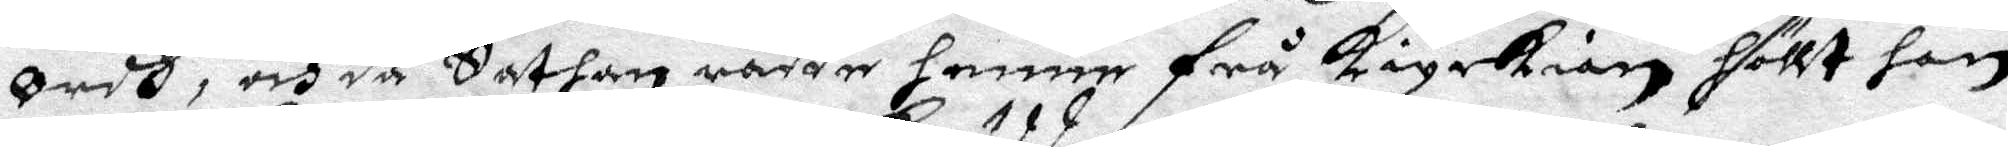Ordh, och då Sathan rådde henne frå kiyrkian höllt hon
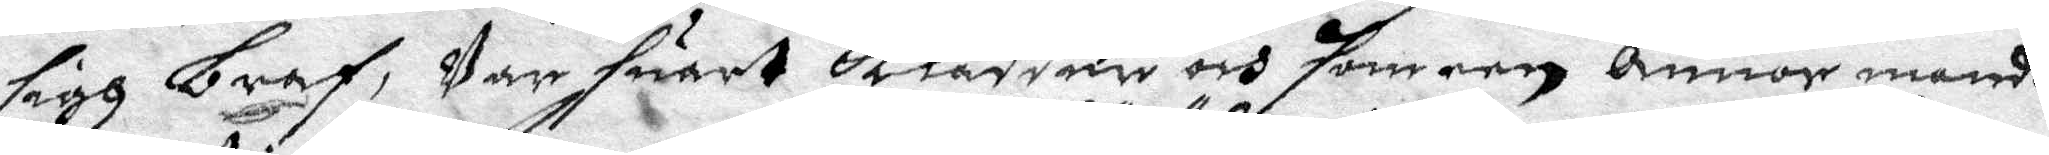sigh bref, Var suart klädder och som een Annor mandh,
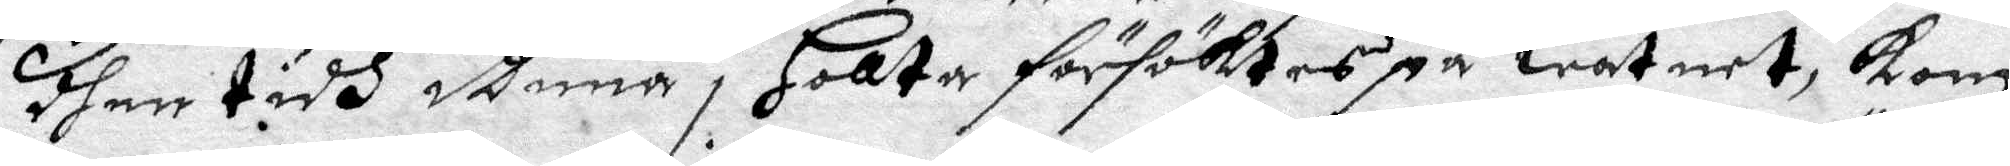dher tidh dhenna i Hollta försöktes på watnet, kom
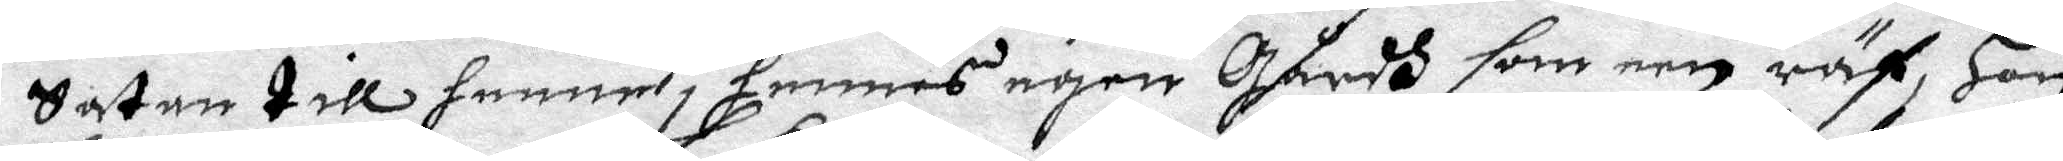Satan till henne i hennes egen gårdh som een räf, Hon
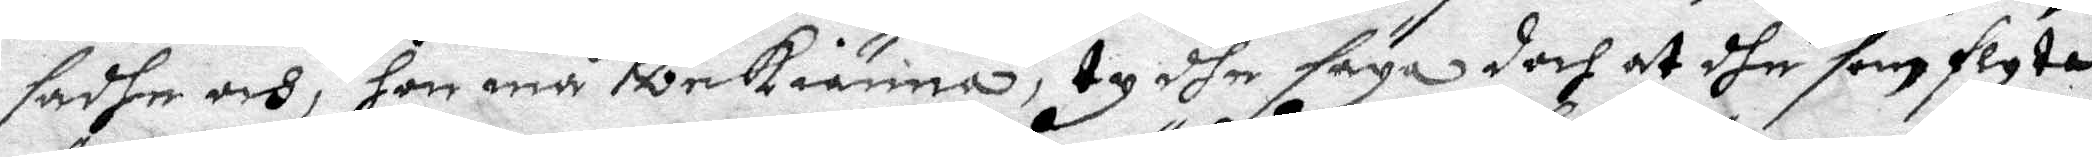sadhe och, hon må bekiänna, ty dhe säga doch at dhe som flyta
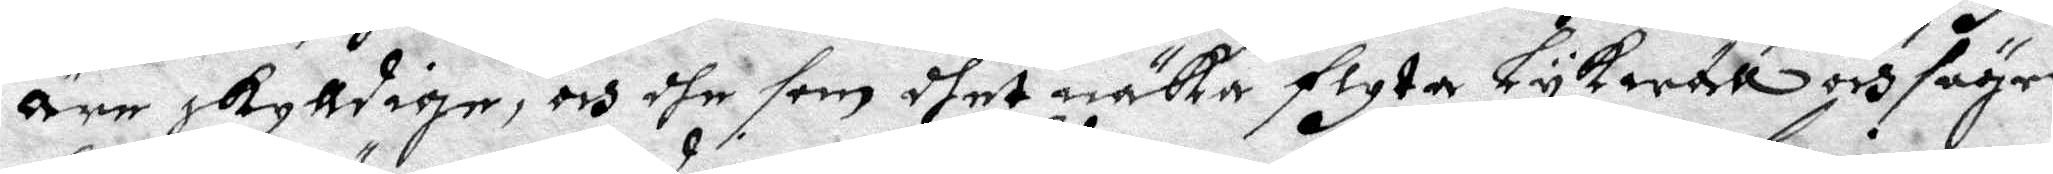Äre skylldige, ochdhe som dher näka flyta Lykwäll och säger
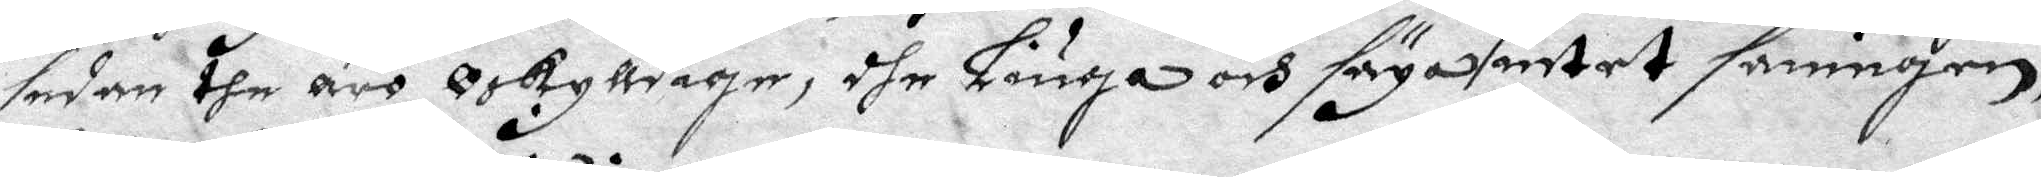sedan dhe äro Oskylldige, dhe Liuga och säga intet sanningen,
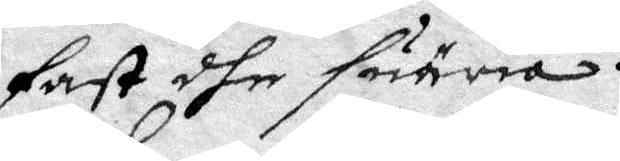fast dhe suäria.
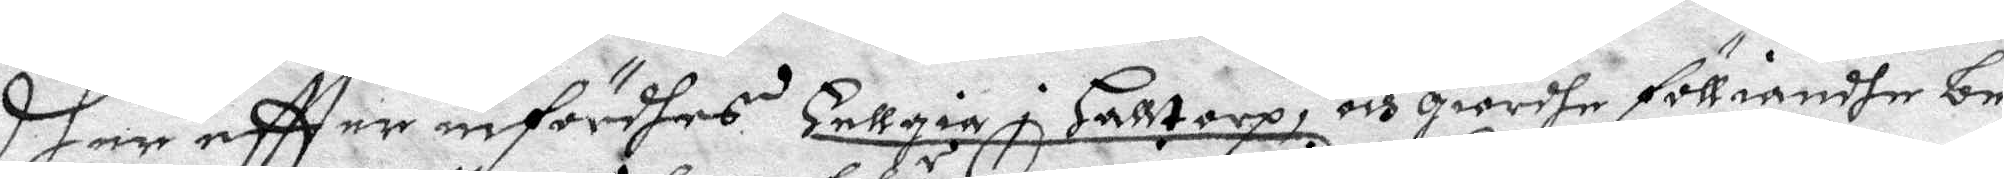Dher eftter infördhes Helligia i Halltorp, och giordhe fölliandhe be¬
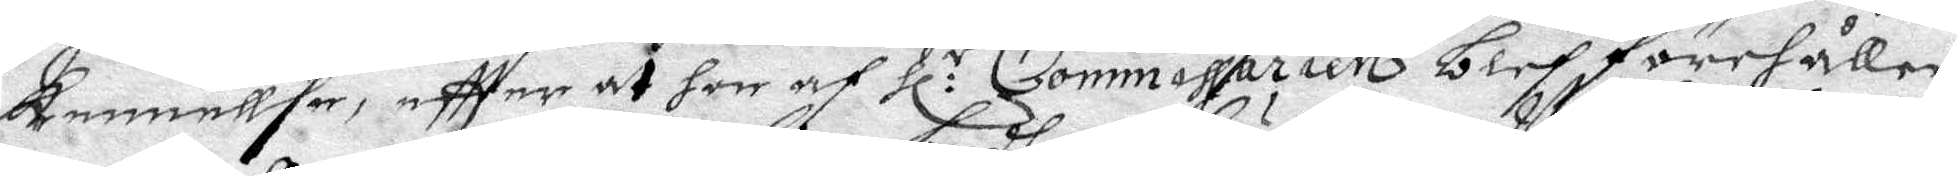kennellse, eftter at hon af Hl:r Commissarien blef förehållen
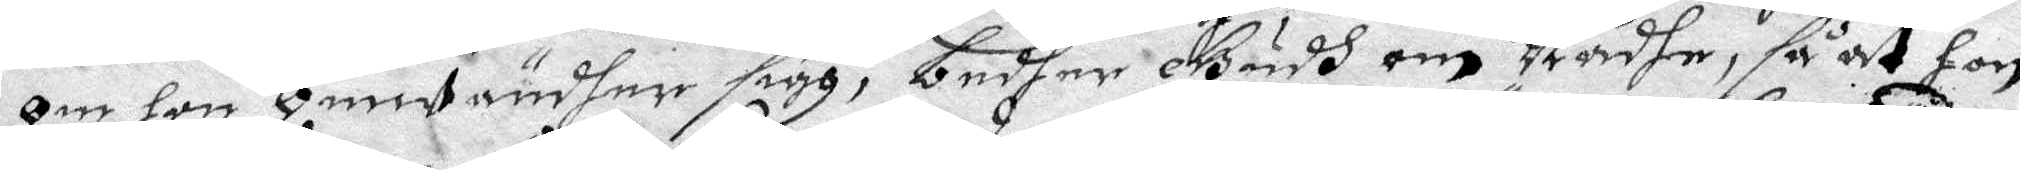om hon Omwändher sigh, bedher Gudh om Nådhe, så at hon
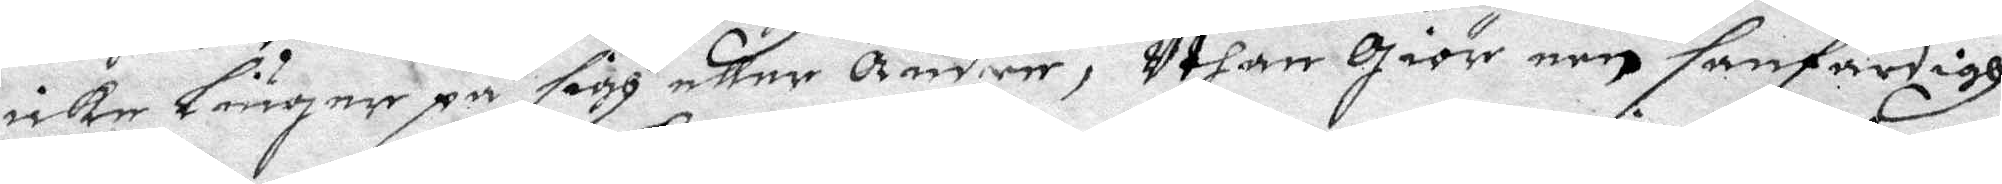icke Liuger på sigh eller Andre, Uthan giör een sanfärdigh
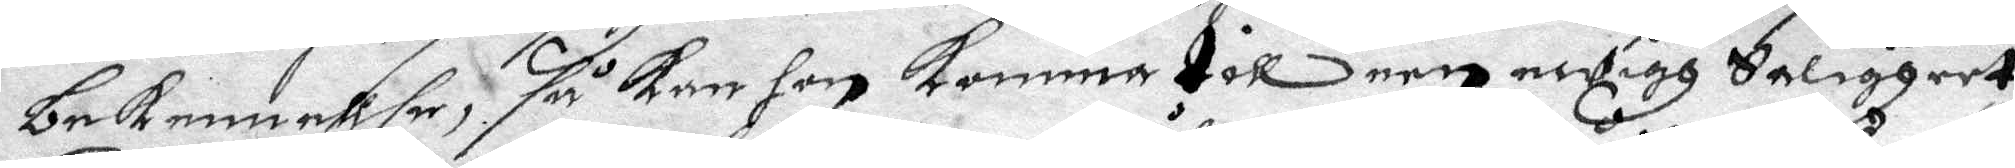bekennellse, så kan hon komma till een ewigh Saligheet,
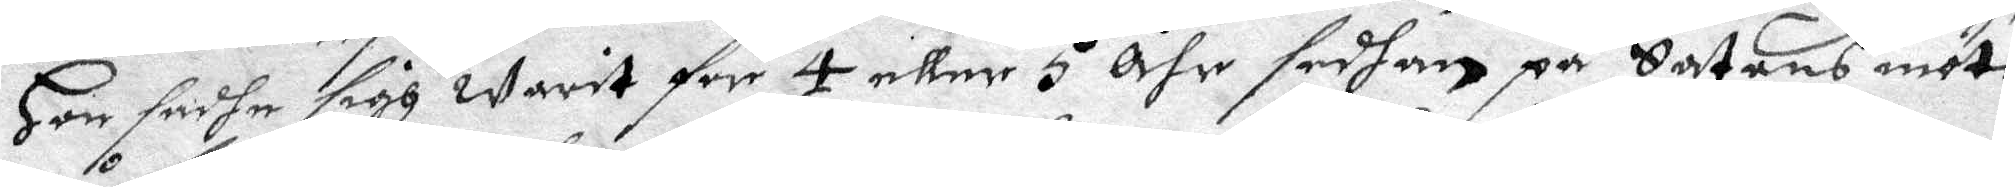Hon sadhe sigh warit för 4 eller 5 åhr sedhan på Satans möte
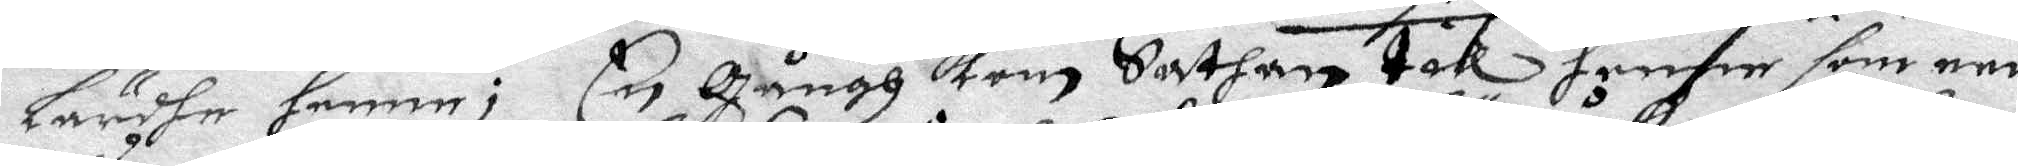Lärdhe henne; En gångh kom Sathan till henne som een
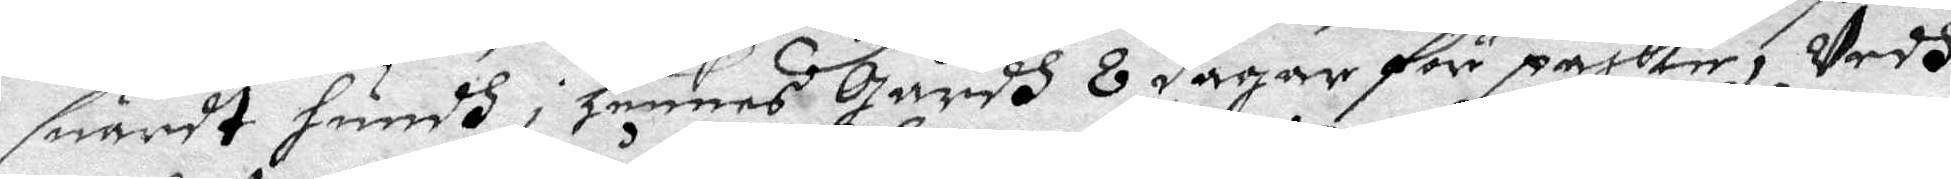suardt hundh i Hennes gårdh 8 dagar för påsken, Vedh
